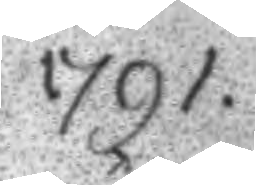1791.
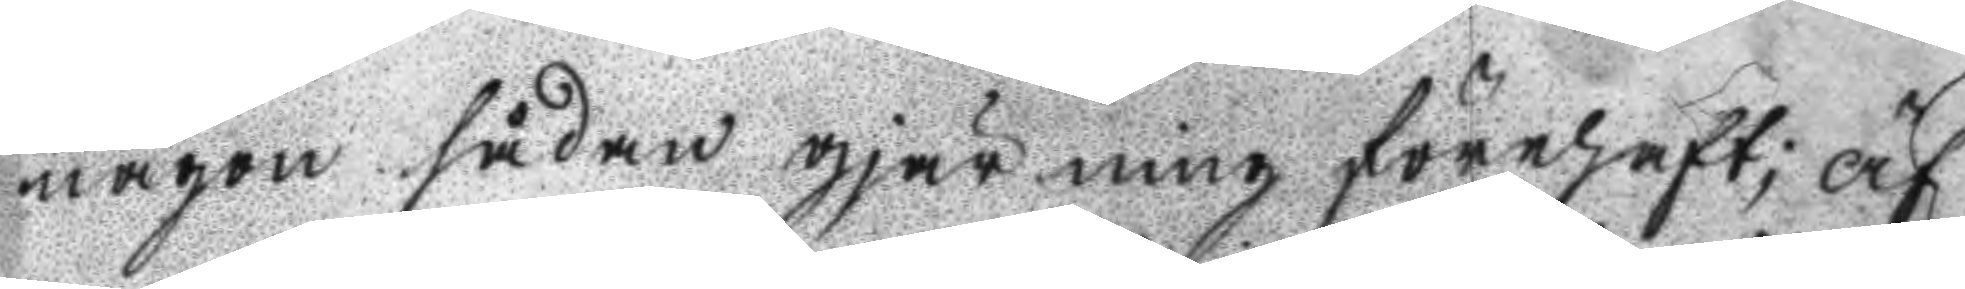någon sådan gjärning förehaft; Äf
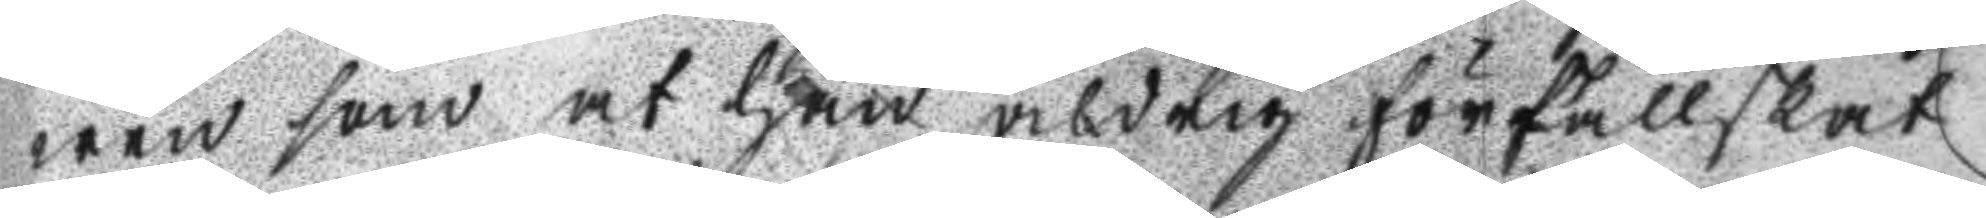wen som at han aldrig förfallskat
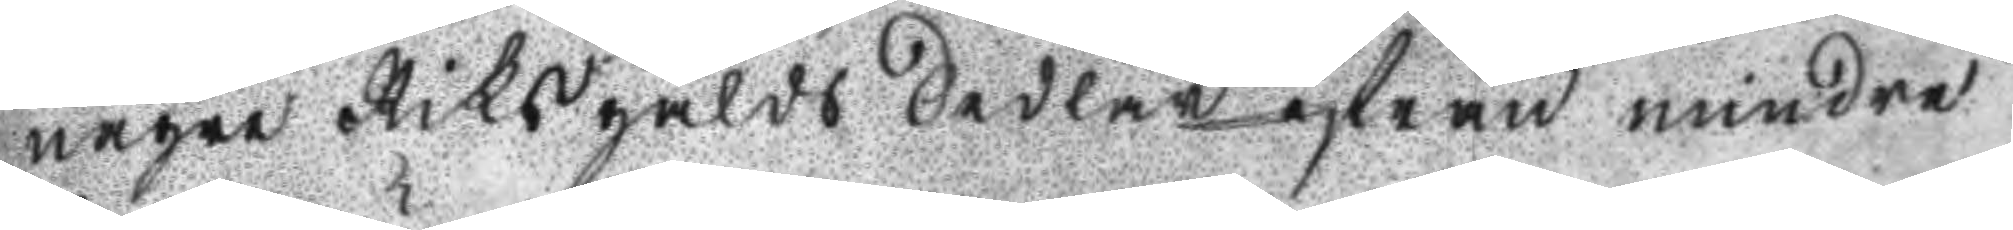någre Riksgälds Sedlar ifrån mindre
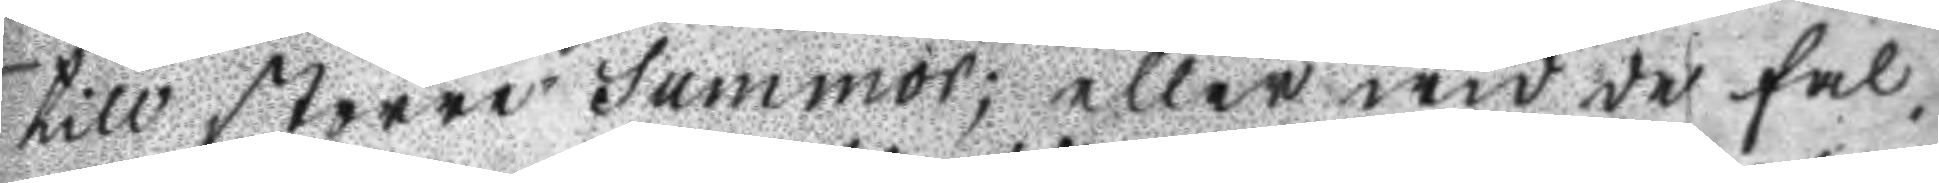till större Summor; eller wid de fal¬
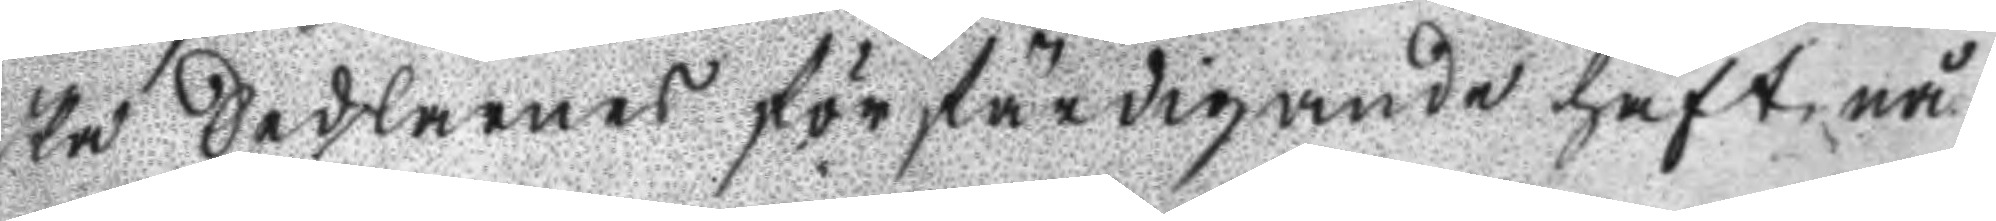ska Sedlarnes förfärdigande haft nå
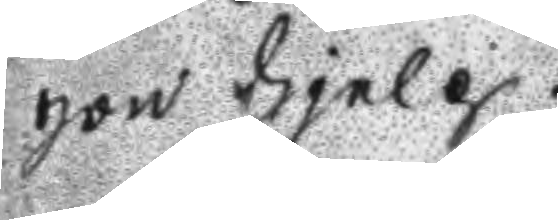gon hjelp.
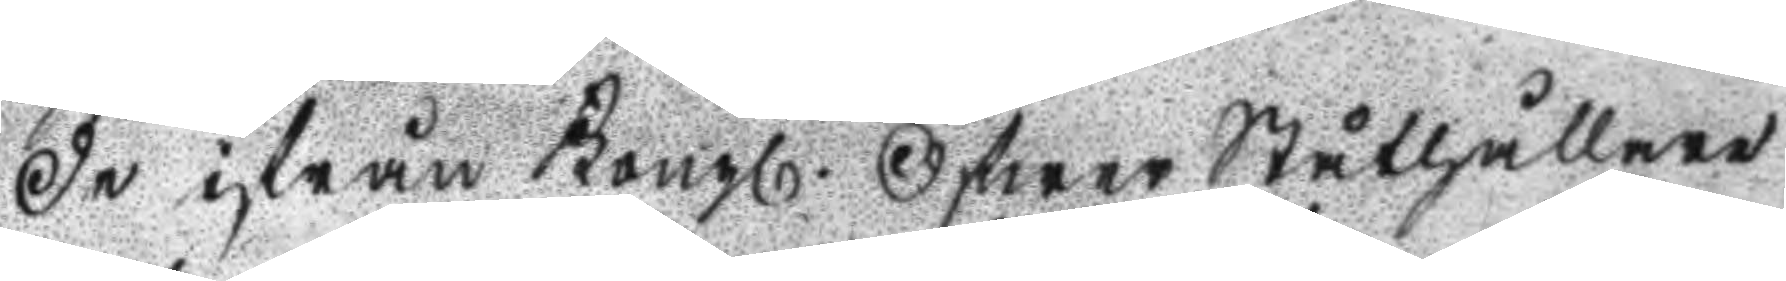De ifrån Kongl. Öfwer Ståthållare
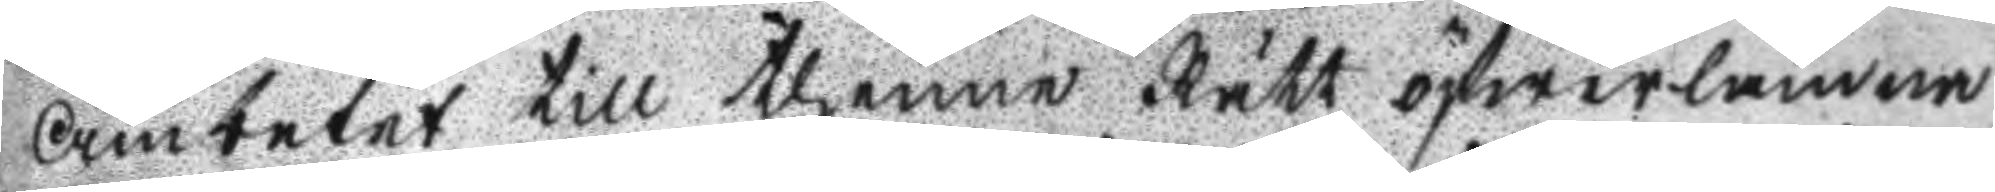Ämbetet till thenne Rätt öfwerlämna
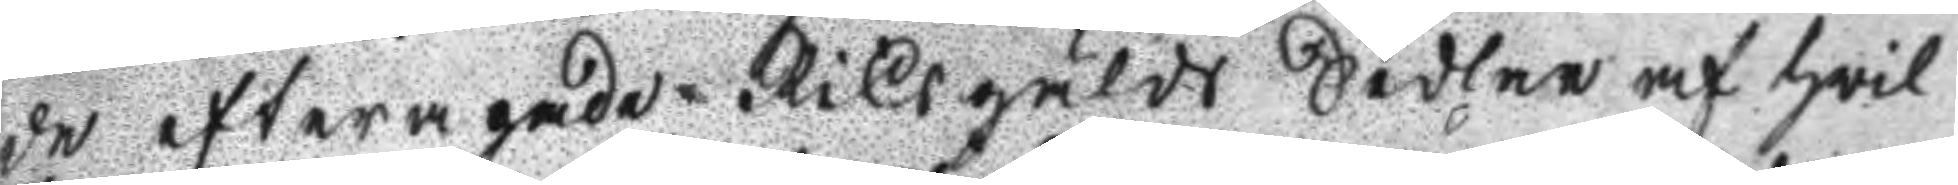de efterapade Riksgälds Sedlar af hwil
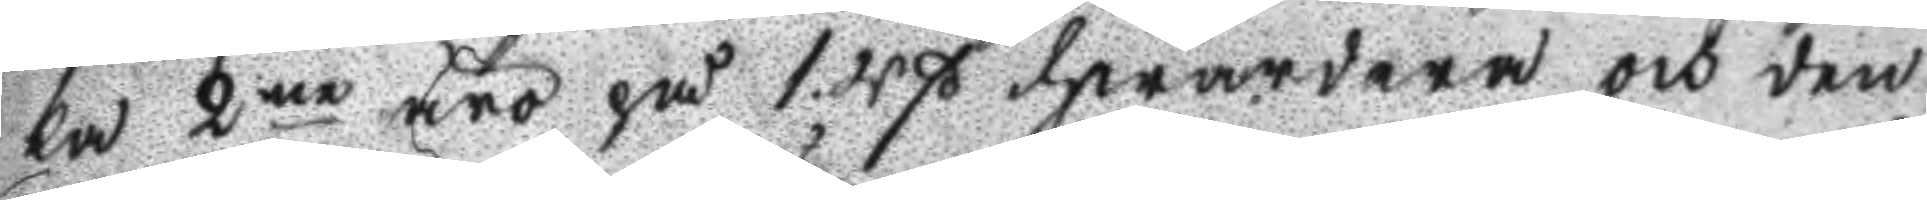ka 2ne äro på 1. Rß hwardera och den
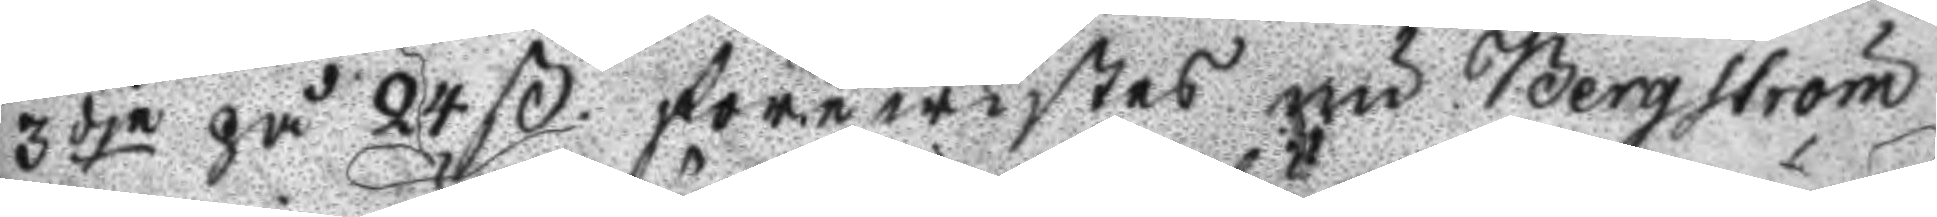3dje på 24 ß förewistes nu Bergström
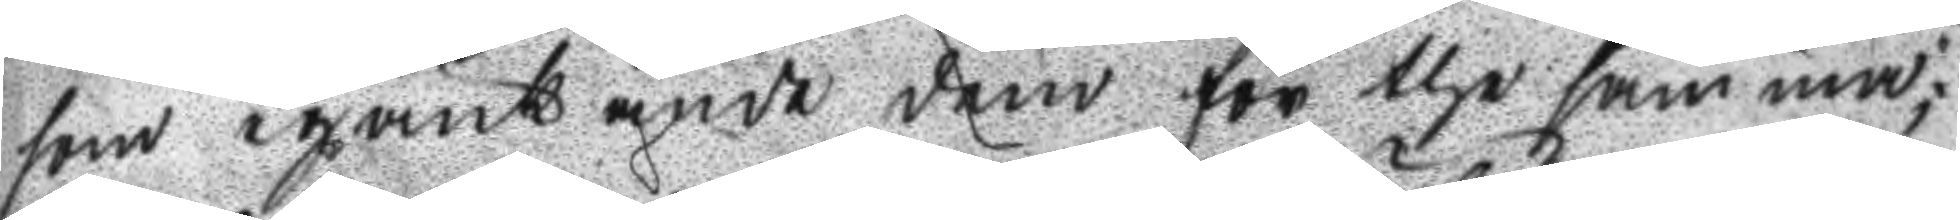som igänk ände dem för the samma;
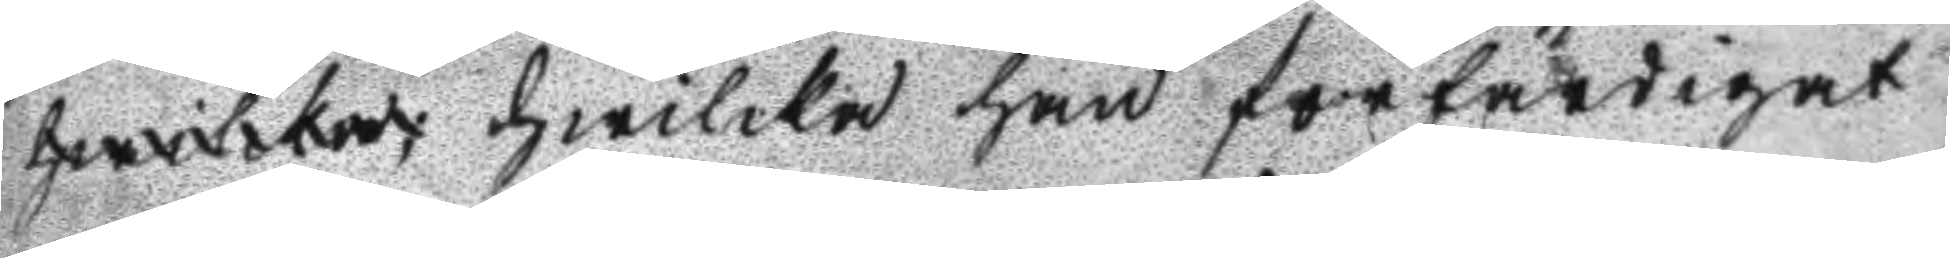hwilcka hwilcka han förfärdigat 
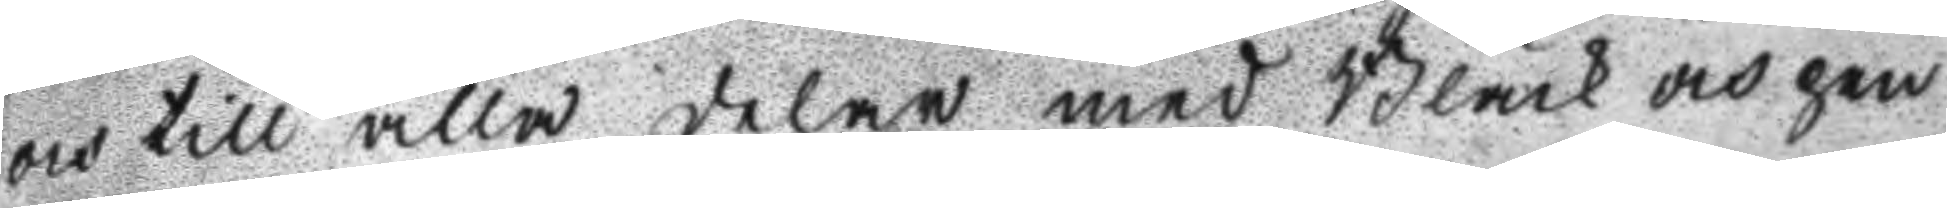och till alla delar med Bläck och pen
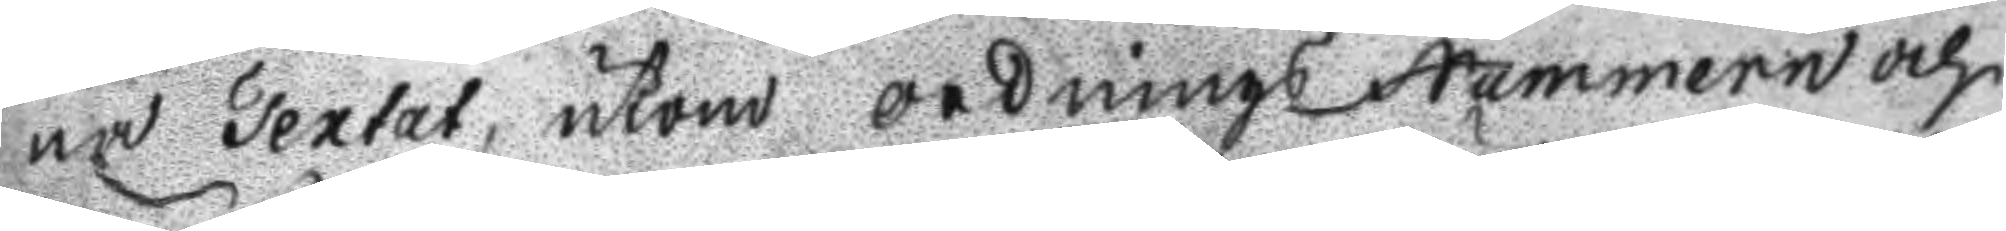na Textat, utkom ordnings Nummern och
